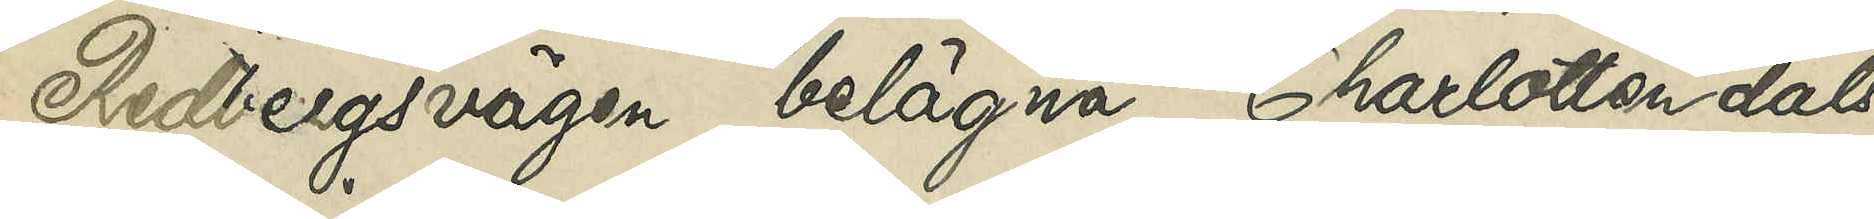Redbergsvägen belägna Charlottendals
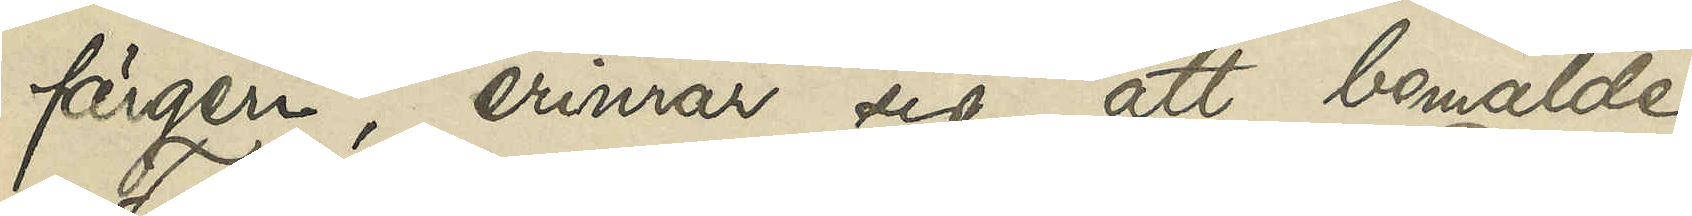färgeri, erinrar sig, att bemälde
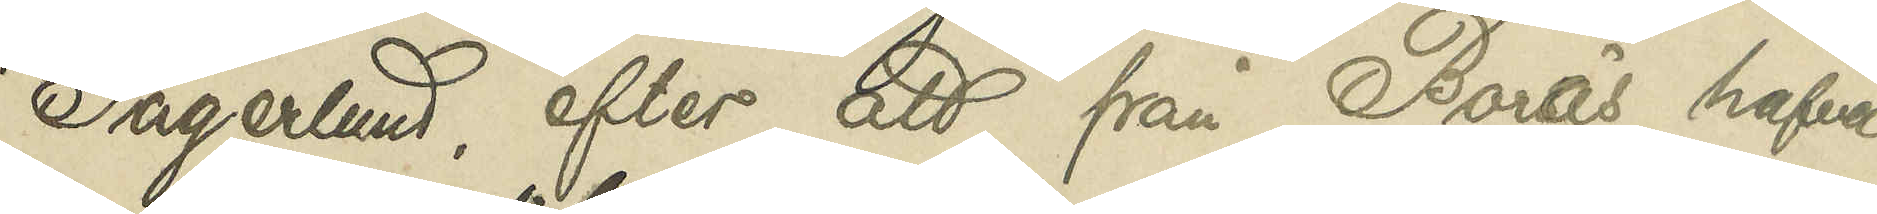Fagerlund, efter att från Borås hafva
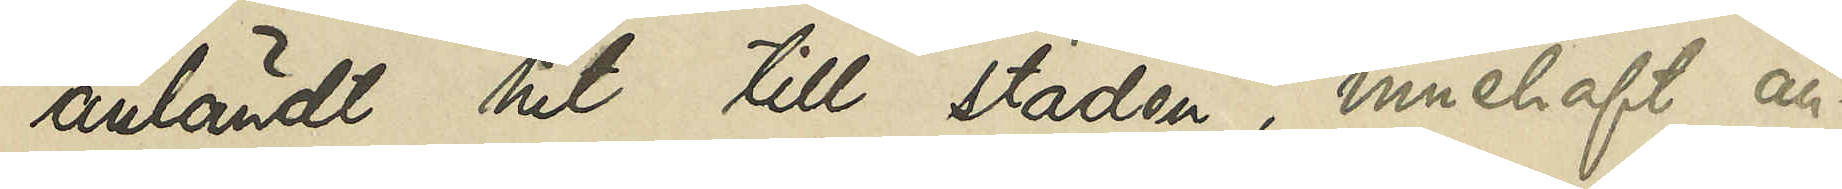anländt hit till staden, innehaft an¬
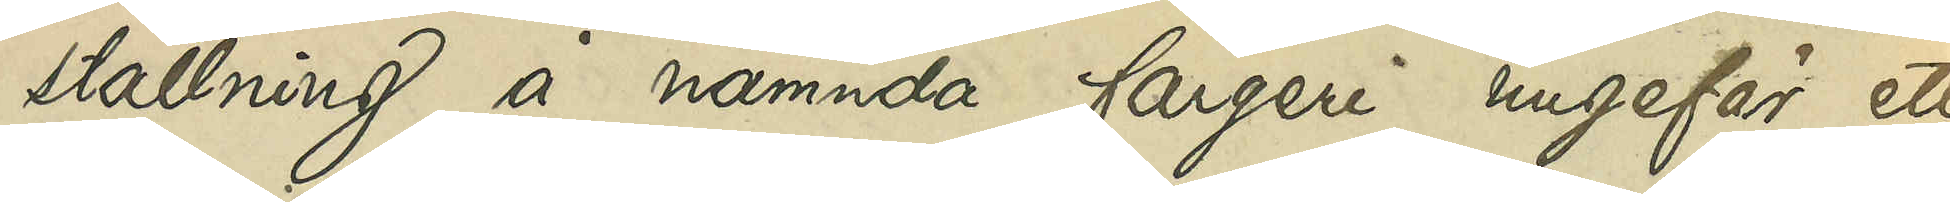ställning å nämnda färgeri ungefär ett
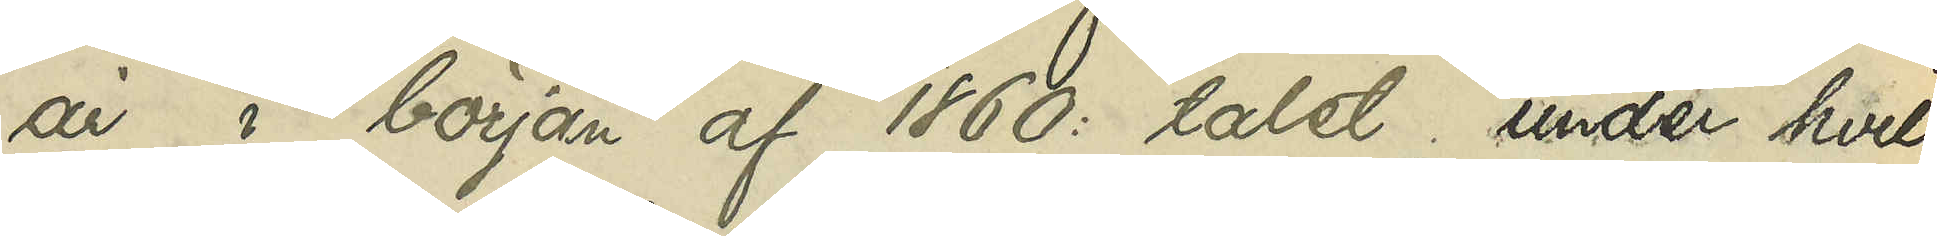år i början af 1860:talet, under hvilken
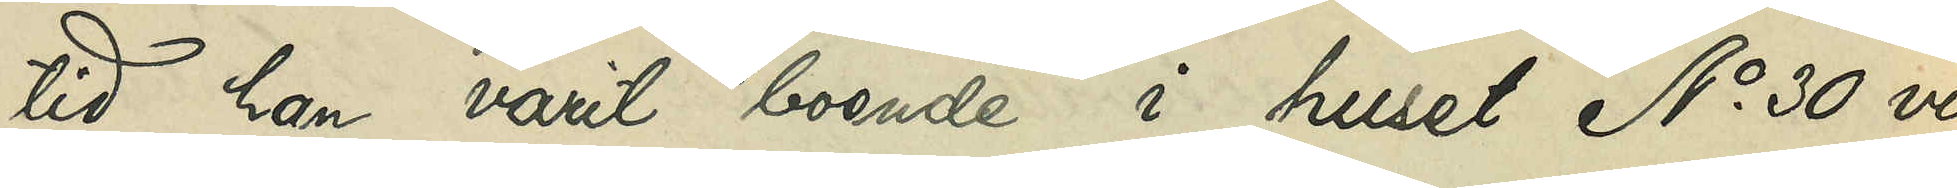tid han varit boende i huset No 30 vid
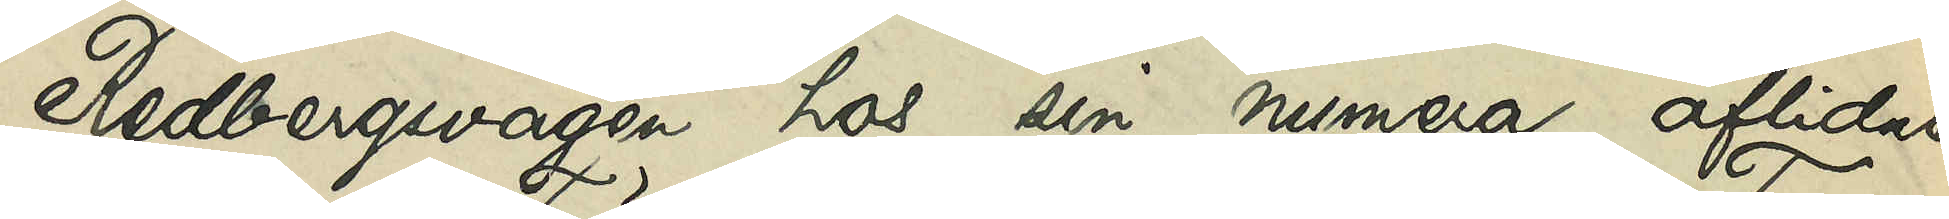Redbergsvägen hos sin numera aflidne
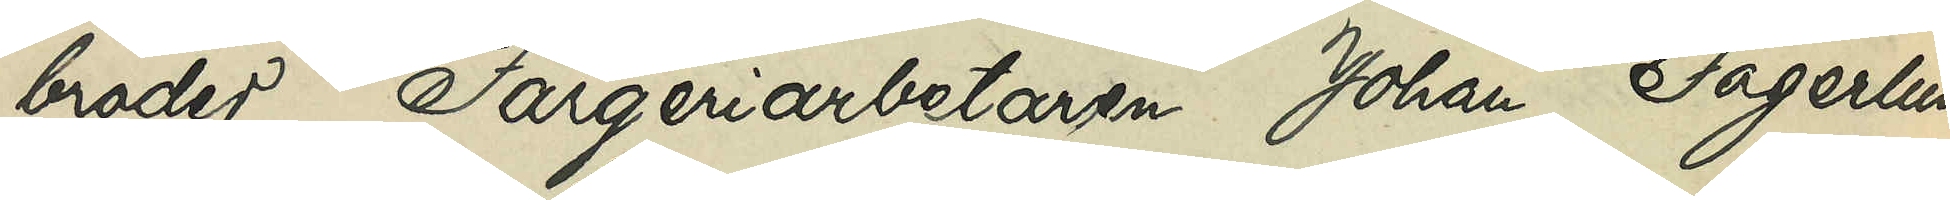broder Färgeriarbetaren Johan Fagerlund
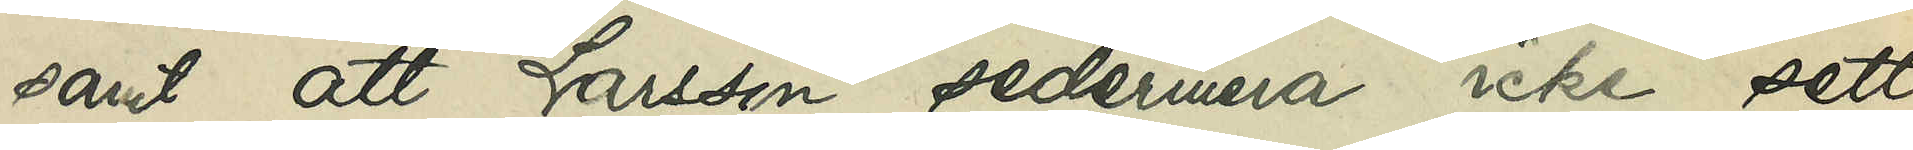samt att Larsson sedermera icke sett
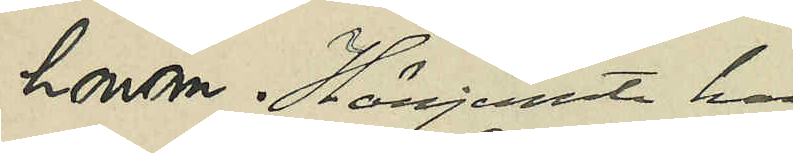honom. Härjemte har
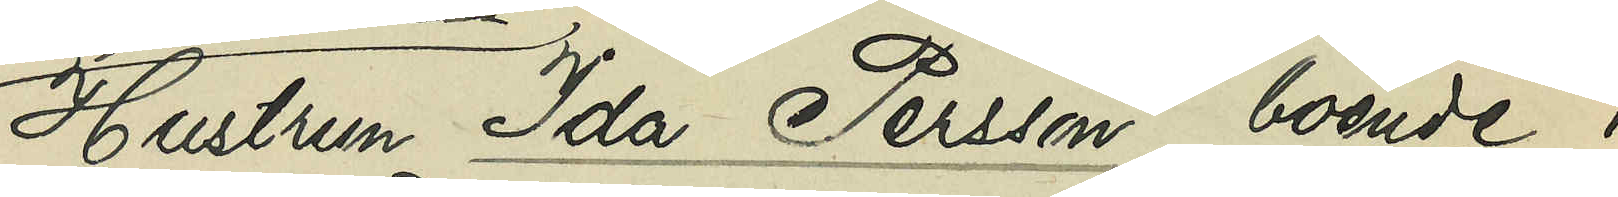Hustrun Ida Persson boende i
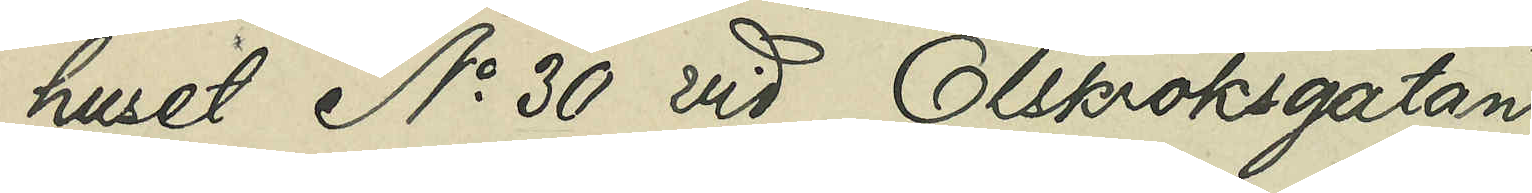huset No 30 vid Olskroksgatan
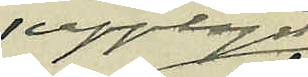upplyst
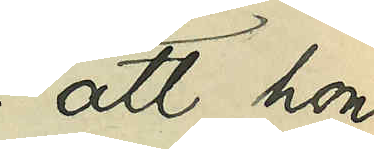att hon
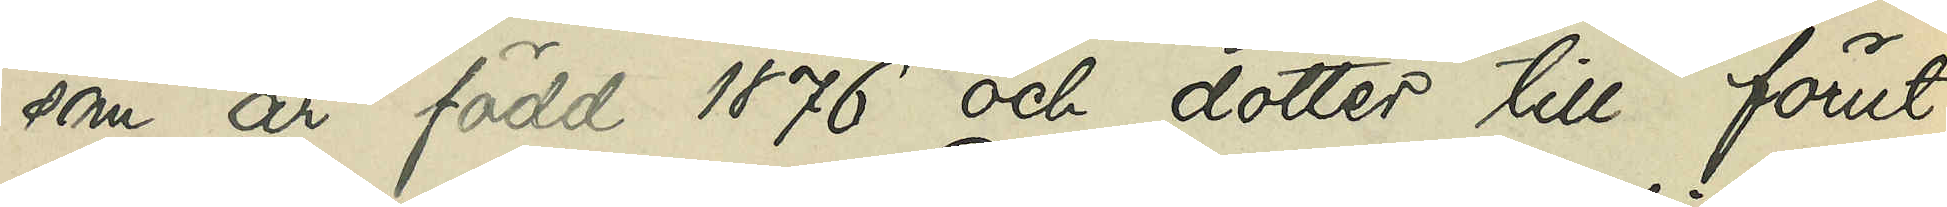som är född 1876 och dotter till förut¬
